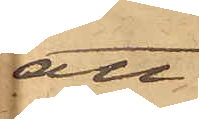att
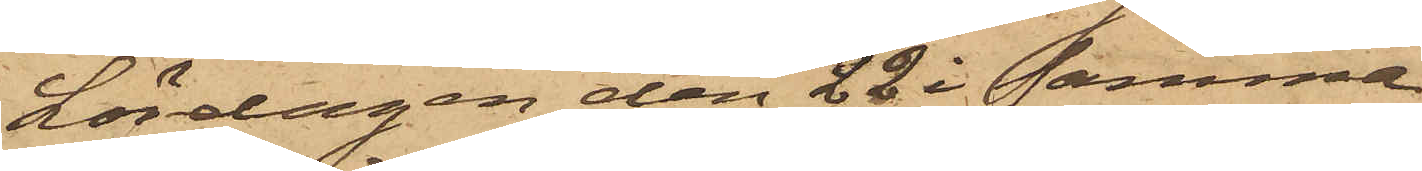Lördagen den 22 i samma
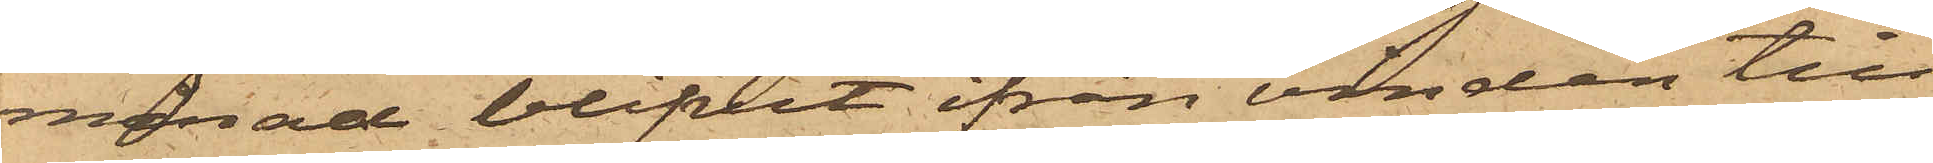månad blifvit ifrån vinden till
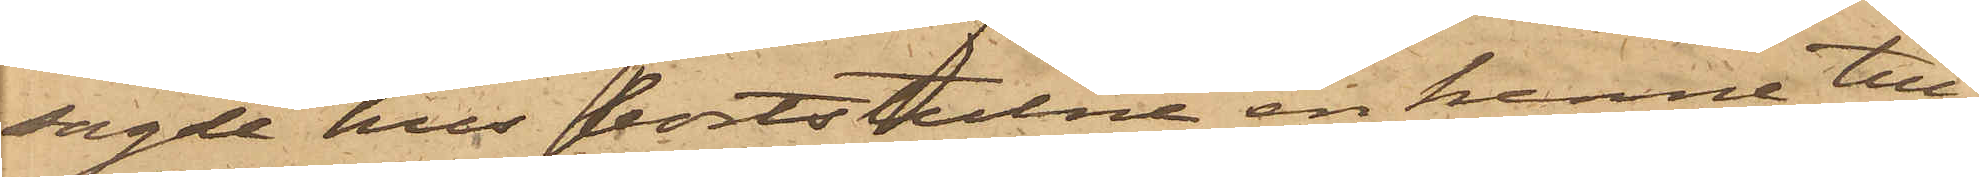sagde hus bortstulne en henne till¬
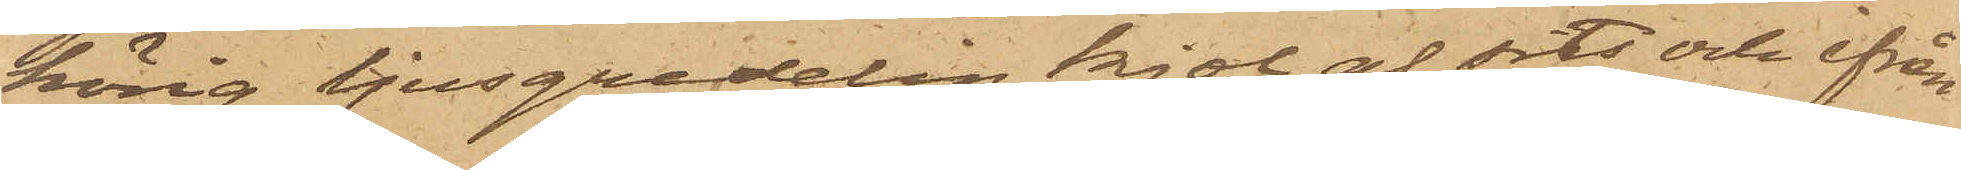hörig ljusgredelin kjol af sits och ifrån
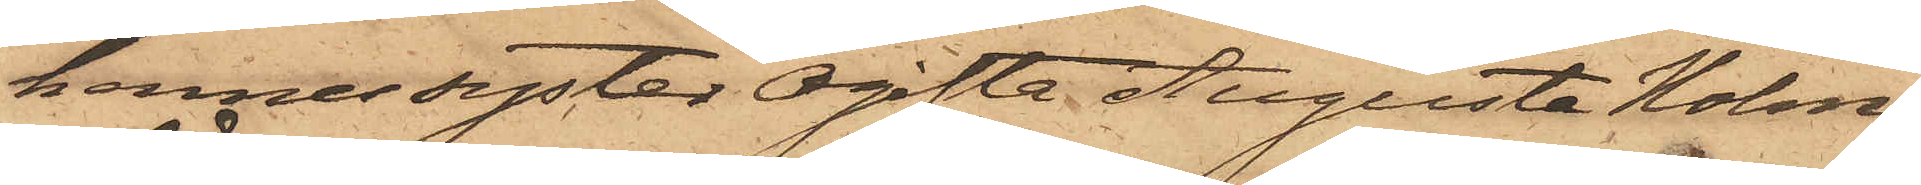hennes syster Ogifta Augusta Holm¬
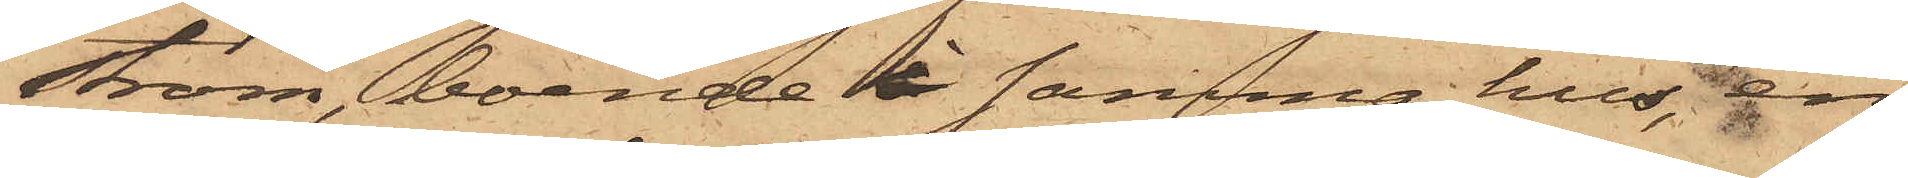ström, boende i samma hus, en
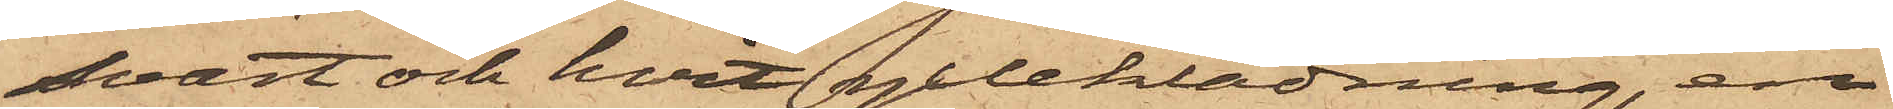svart och hvit ylleklädning, en
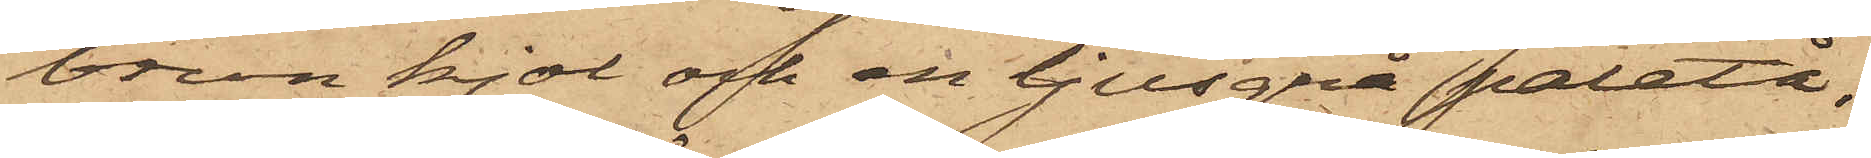brun kjol och en ljusgrå paletå;
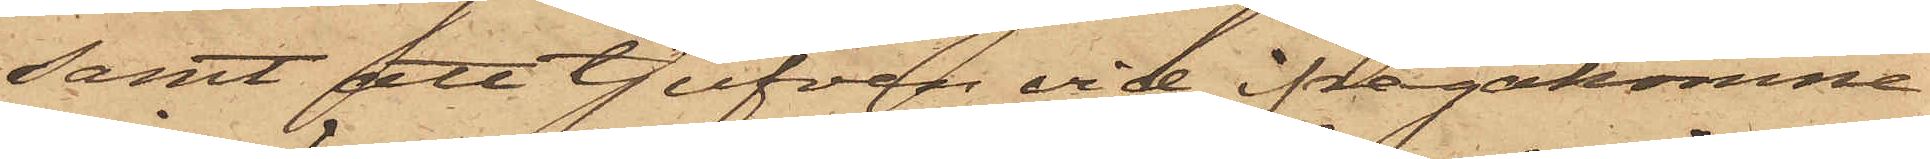samt att tjufven vid ifrågakomne
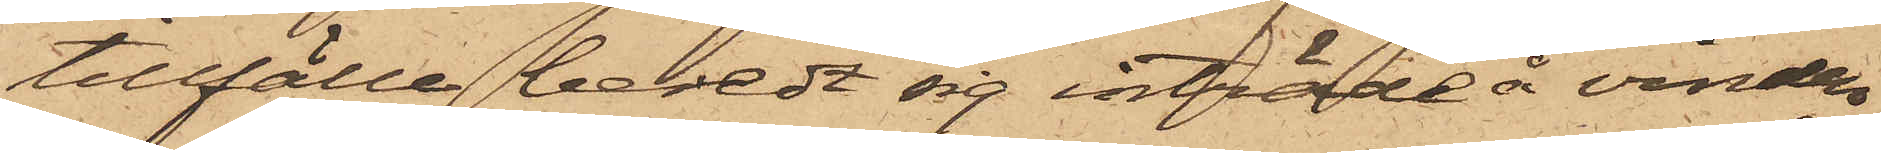tillfälle beredt sig inträde å vinden
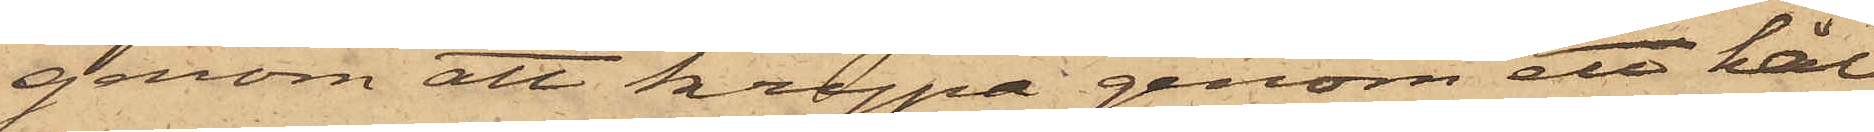genom att krypa genom ett hål
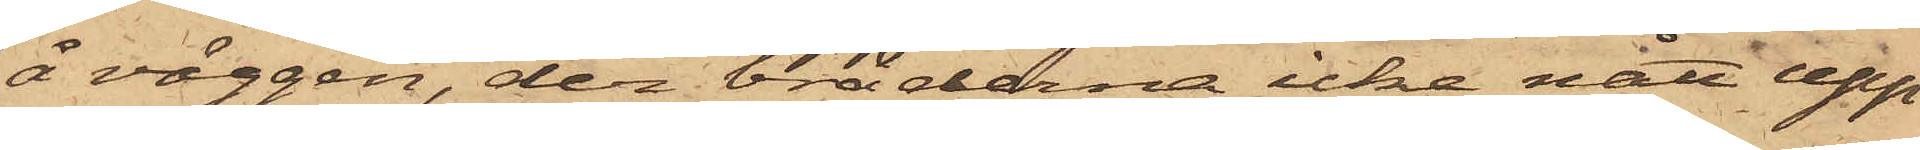å väggen, der bräderna icke nått upp
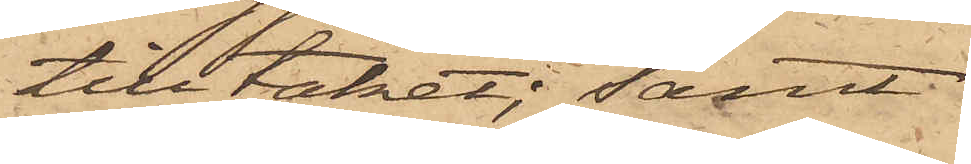till taket; samt
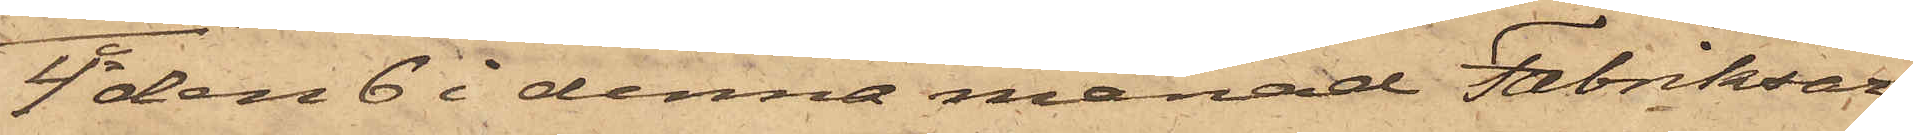4o den 6 i denna månad Fabriksar¬
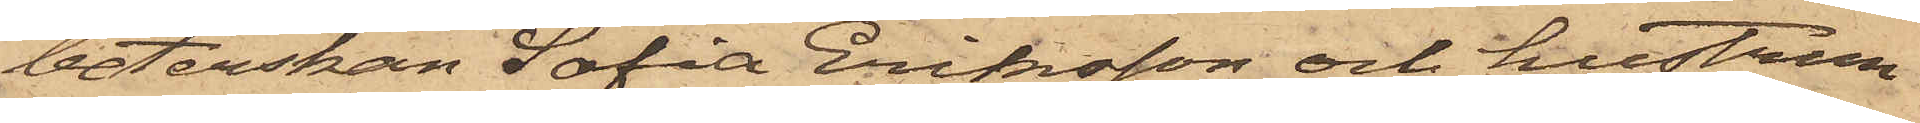beterskan Sofia Eriksson och hustrun
